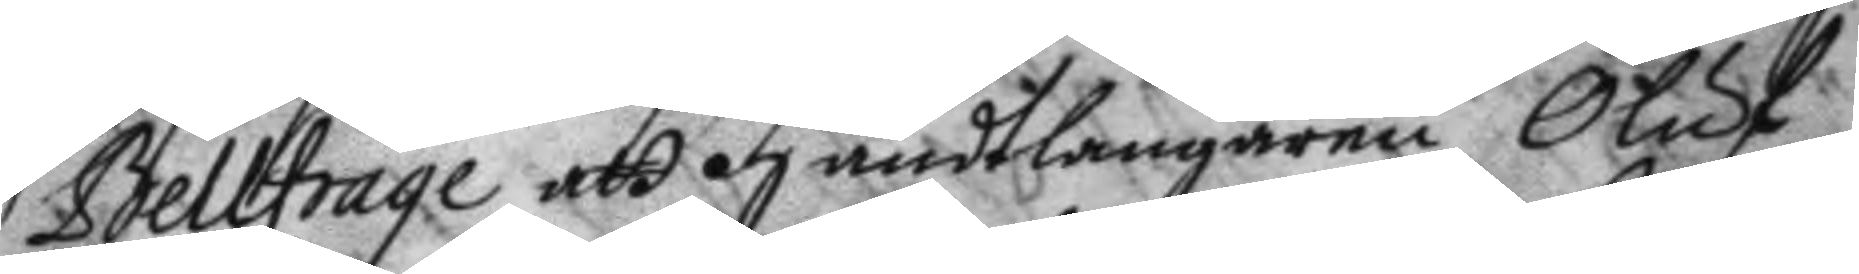Belfrage att handtlangaren Oluf
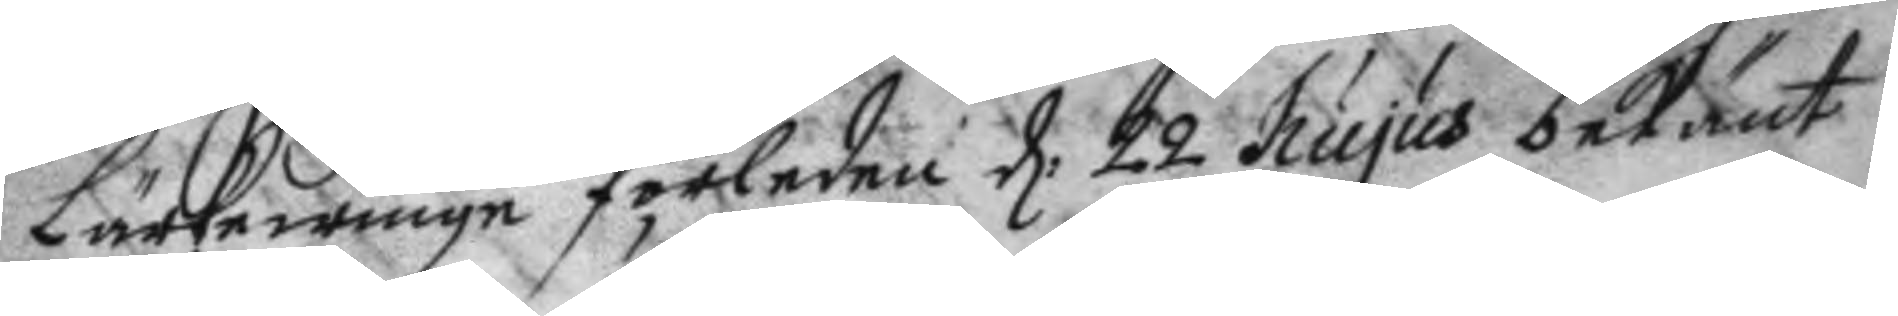Lärkewinge förledne d: 22 hujus bekänt 
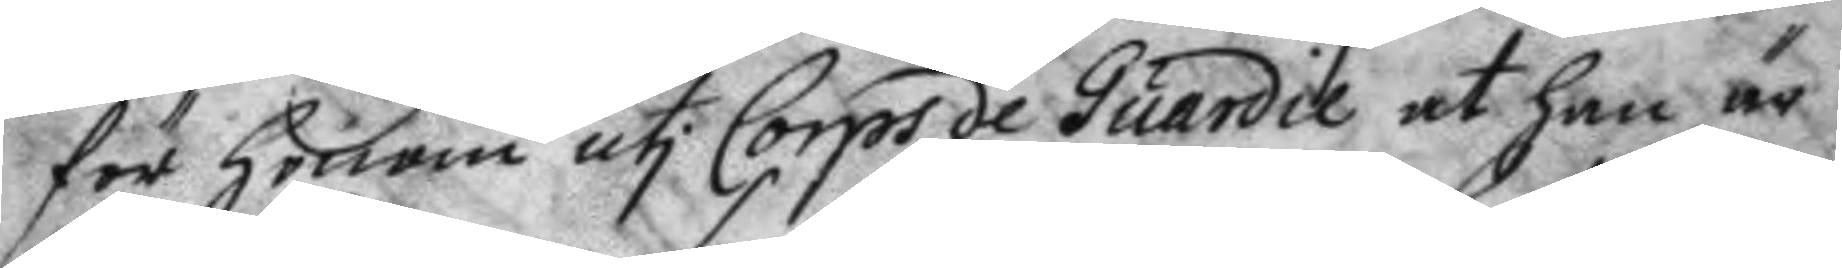för honom uti Corps de Guardie at han är
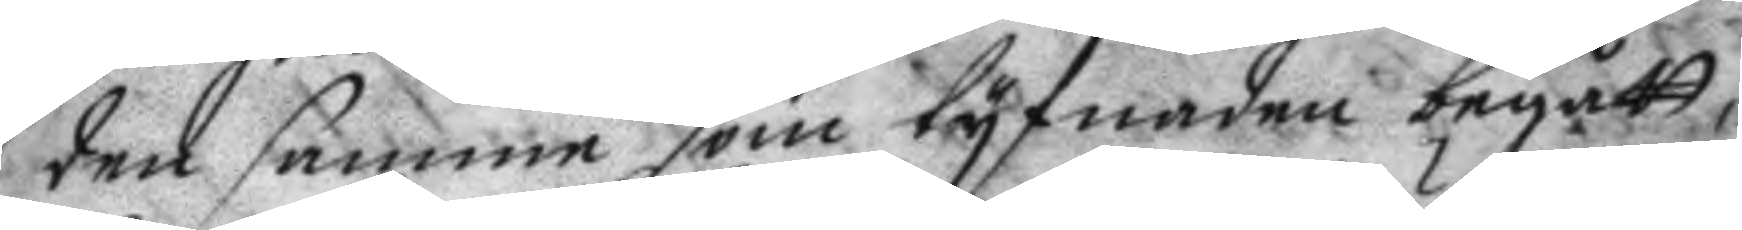den samme som tyfnaden begått,
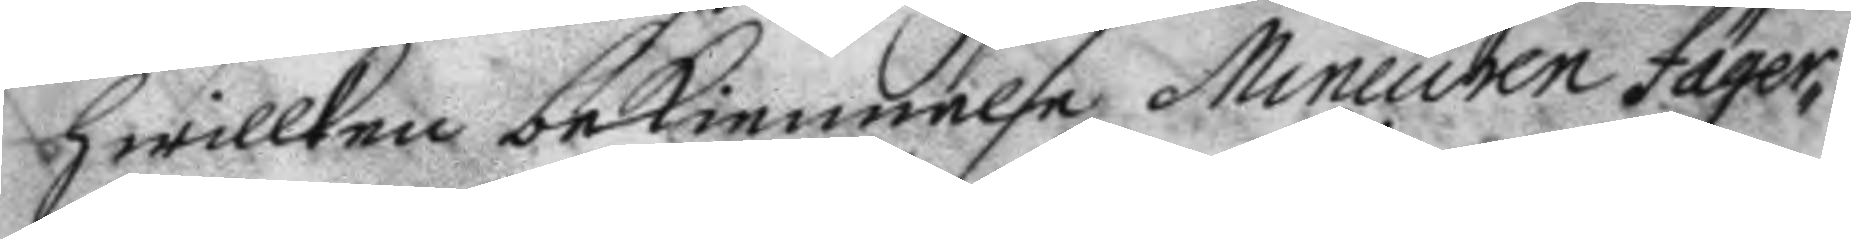hwilken bekiennelse Mineuren Fäger¬
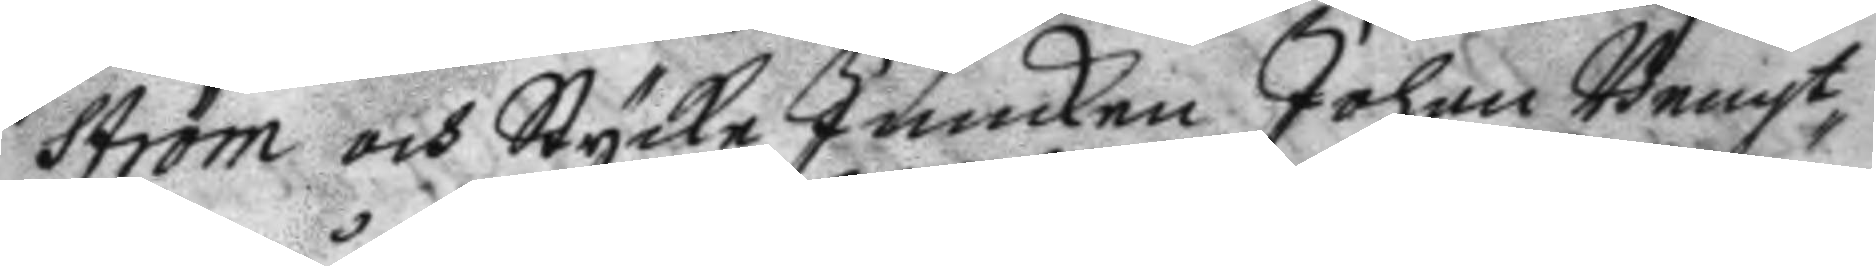ström och Stycke junckaren Johan Bengt¬
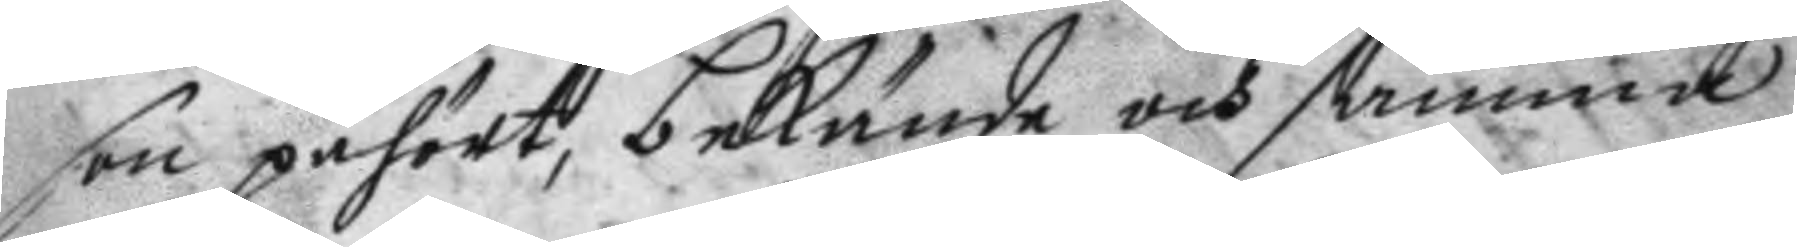son påhört, bekände och samma
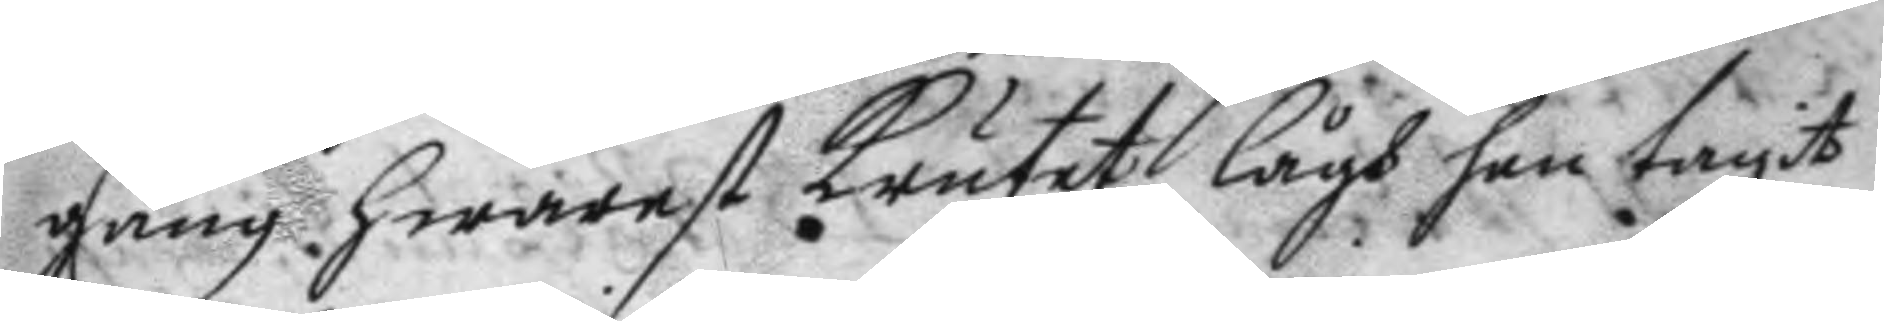gång hwarest Krutet lågh han tagit
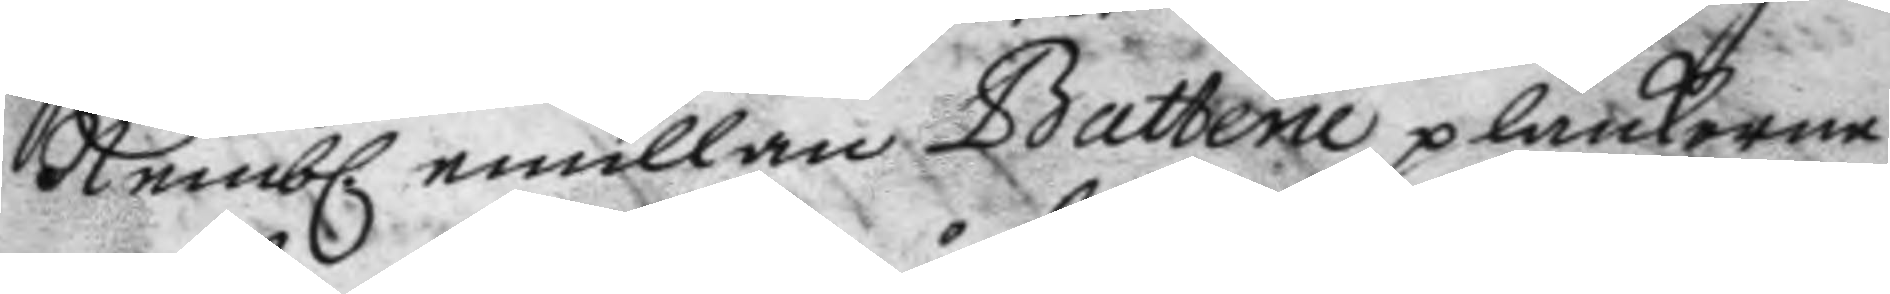Nemb. emillan Bottene planckorne
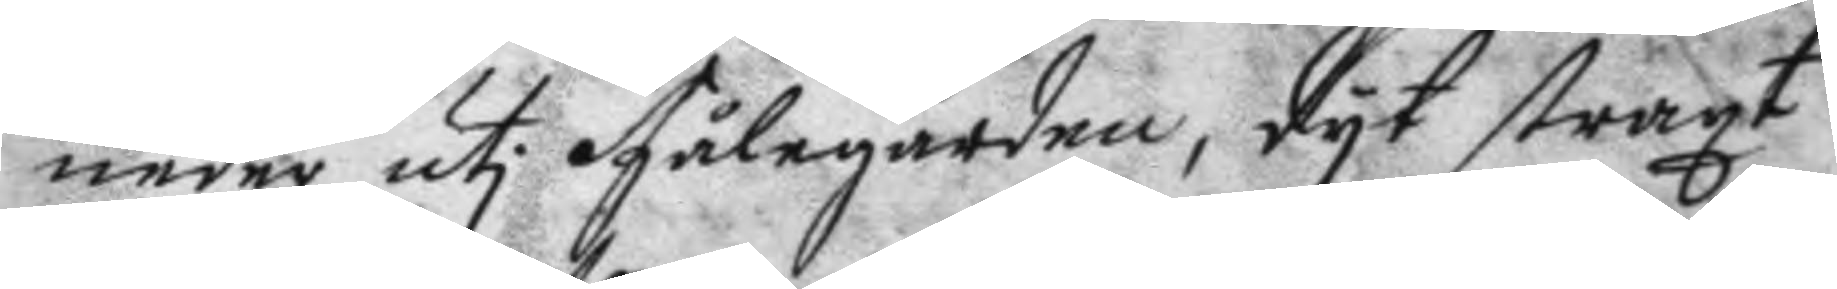neder uti Fålegården, dyt straxt
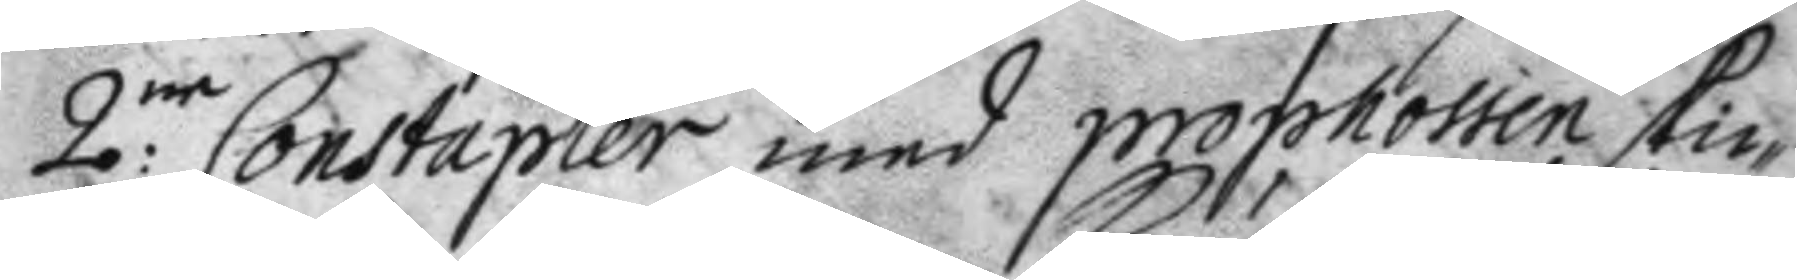2:ne Constapler med prophossen skic¬
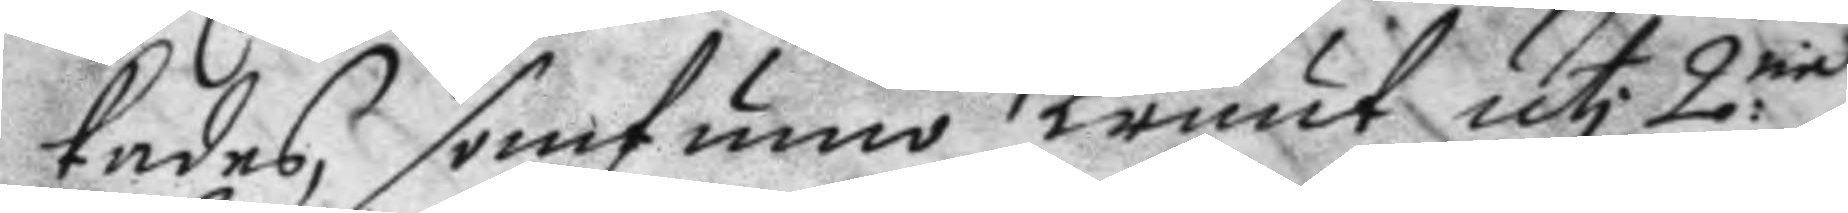kades, somfunno Kruut uti 2:ne
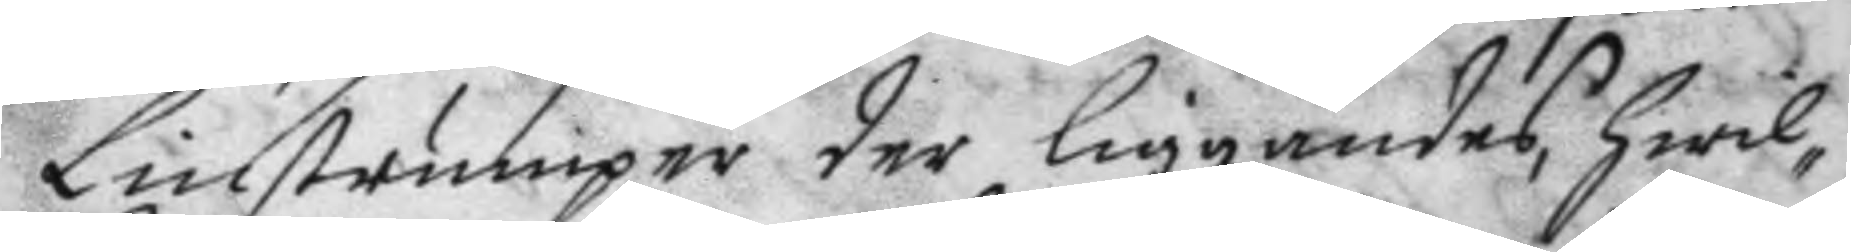Linstrumpor der liggandes, hwil¬
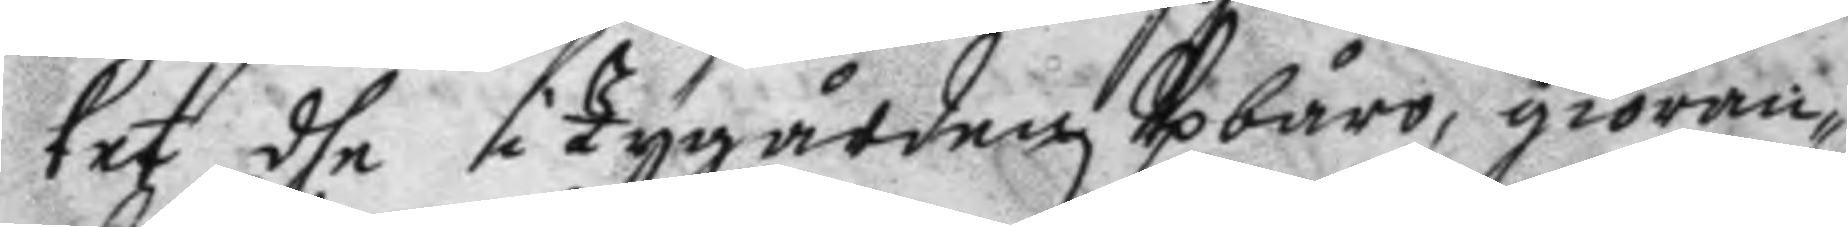ket dhe i Tygården Upburi, giöran¬
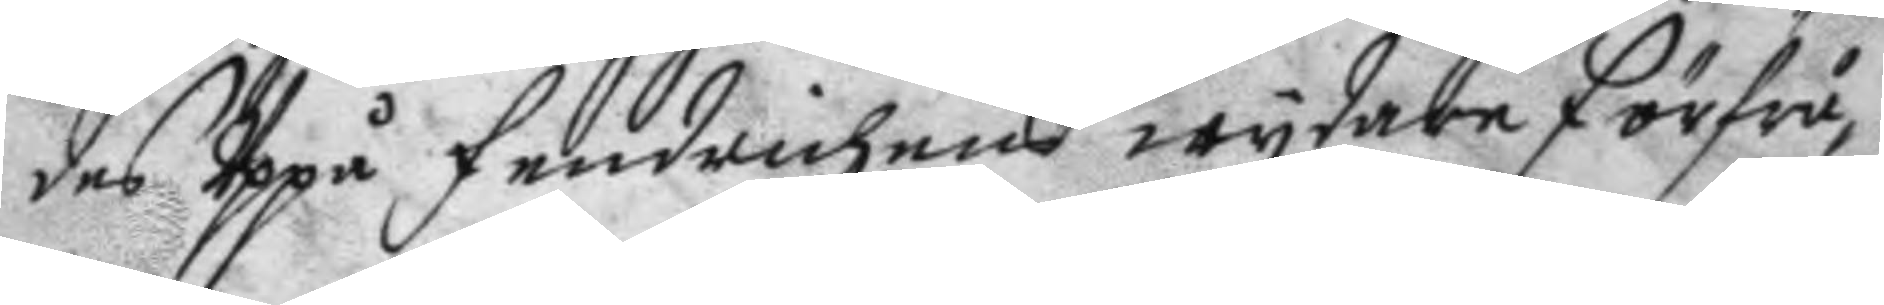des Uppå Fendrichens wydare förfrå¬
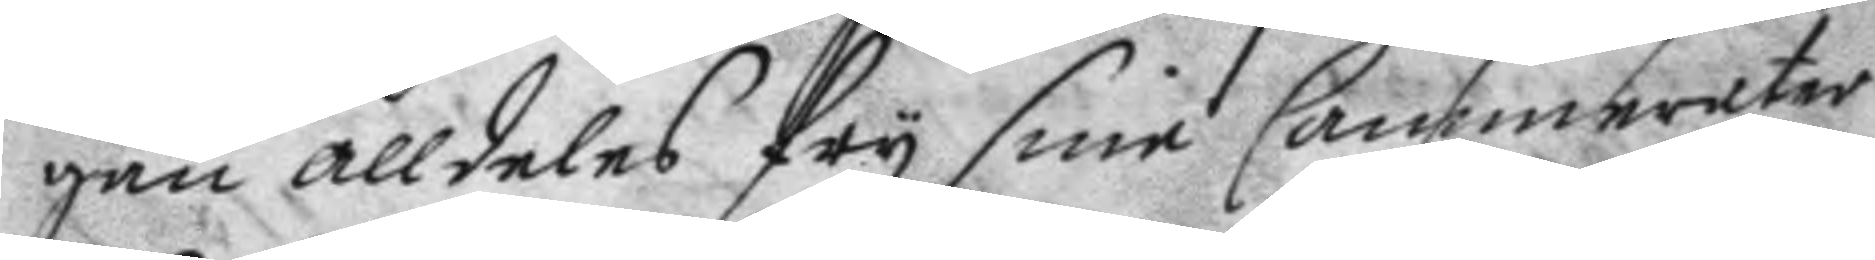gan alldeles fry sine Cammerater
